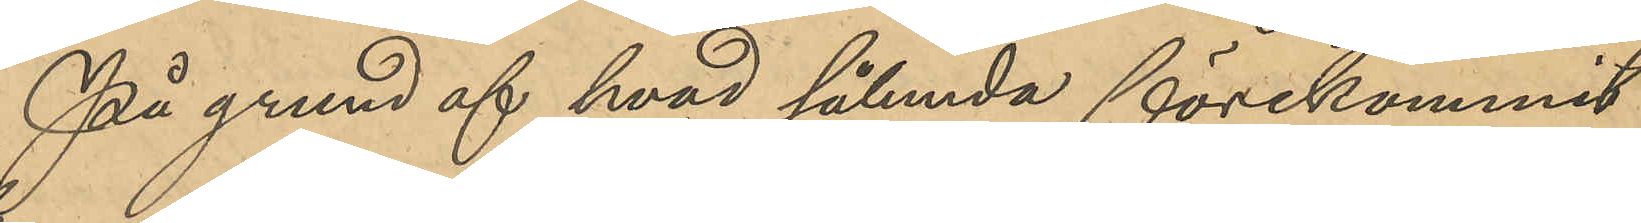På grund af hvad sålunda förekommit
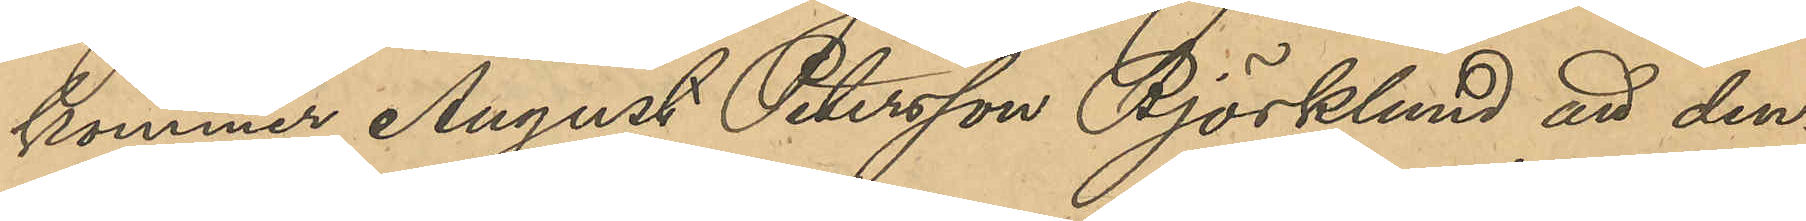kommer August Petersson Björklund att den¬
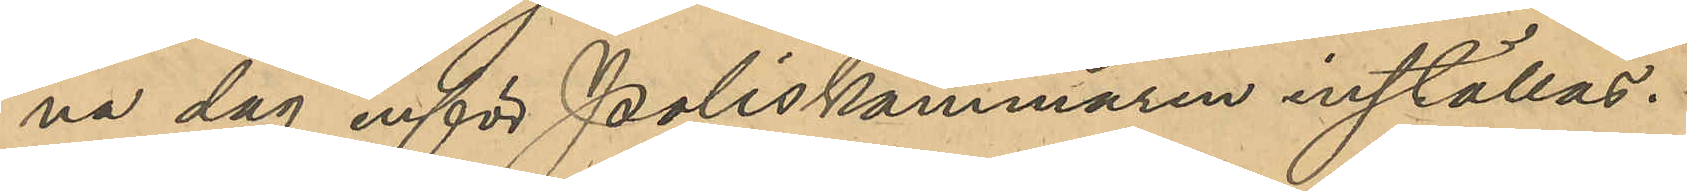na dag inför Poliskammaren inställas.
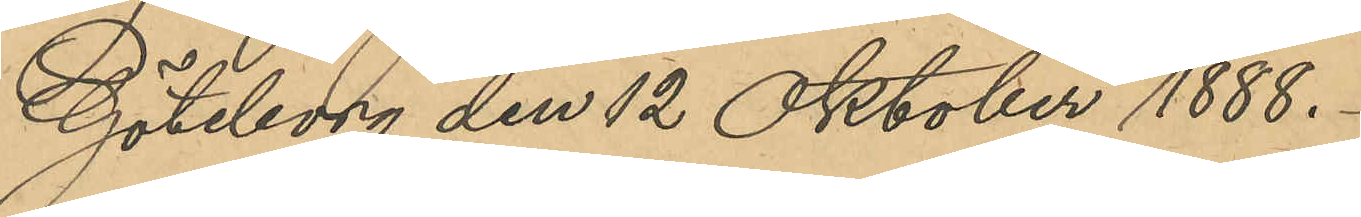Göteborg den 12 Oktober 1888.
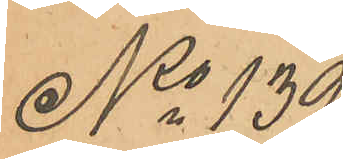No 139
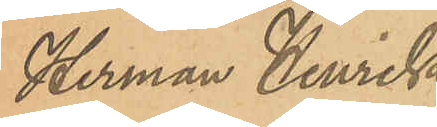Herman Henrik
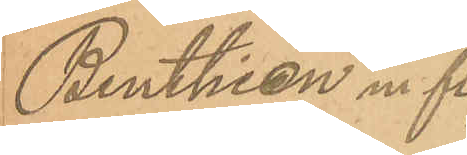Benthien m. fl.
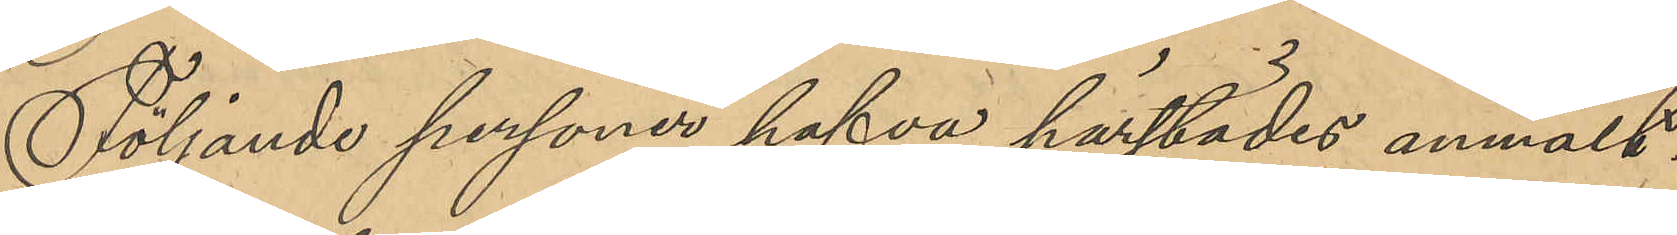Följande personer hafva härstädes anmält:
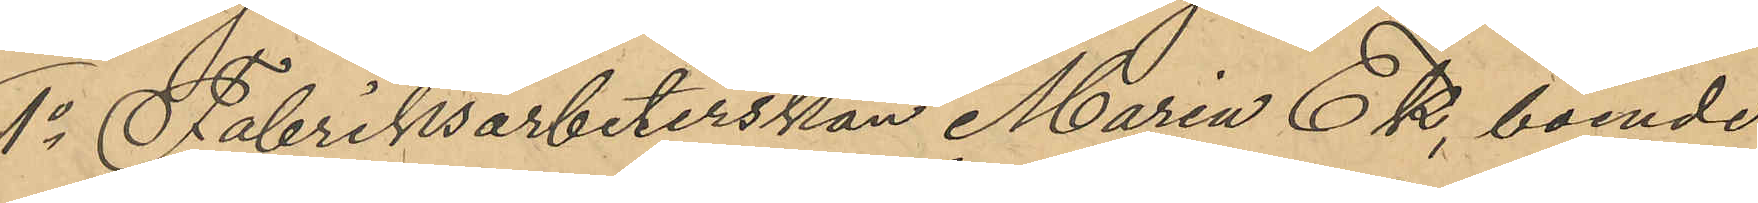1o Fabriksarbeterskan Maria Ek, boende
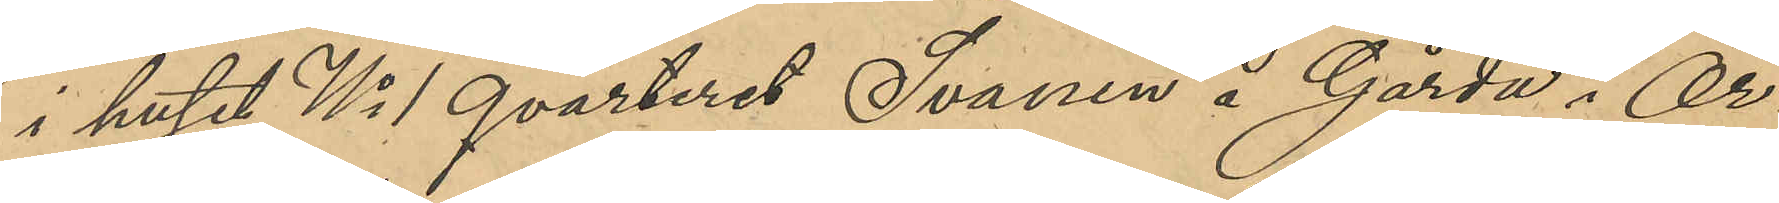i huset No 1 qvarteret Svanen å Gårda i Ör¬
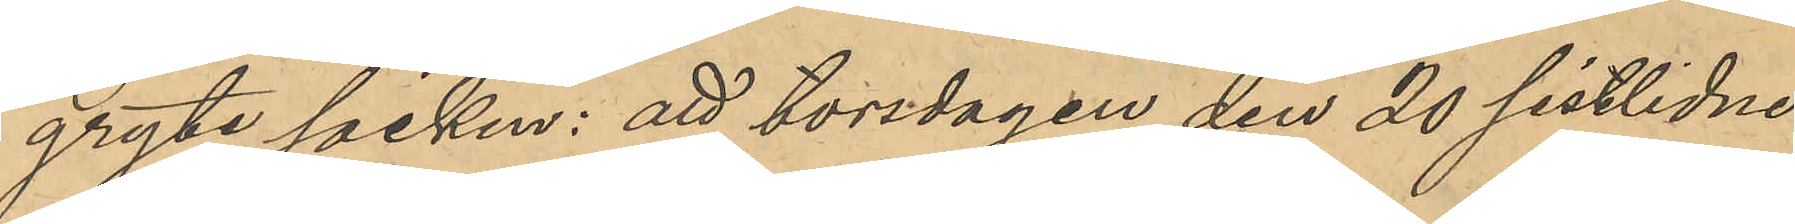gryte socken: att torsdagen den 20 sistlidne
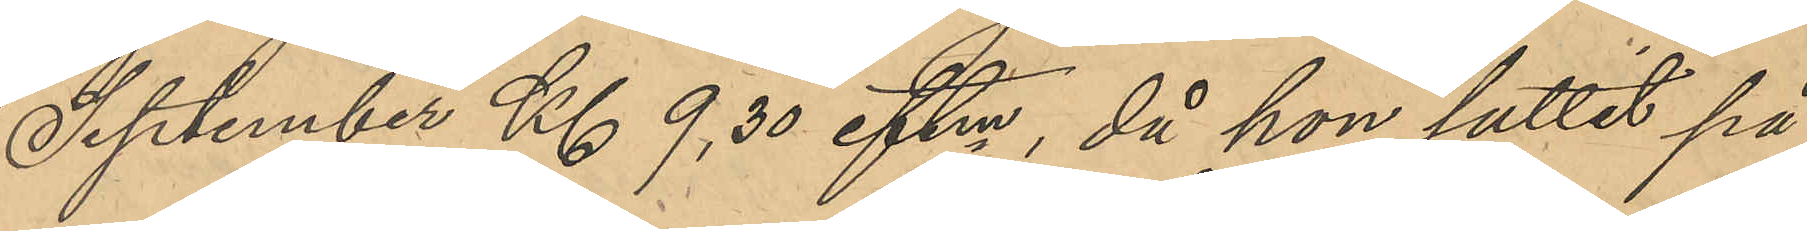September Kl 9,30 eftm, då hon suttit på
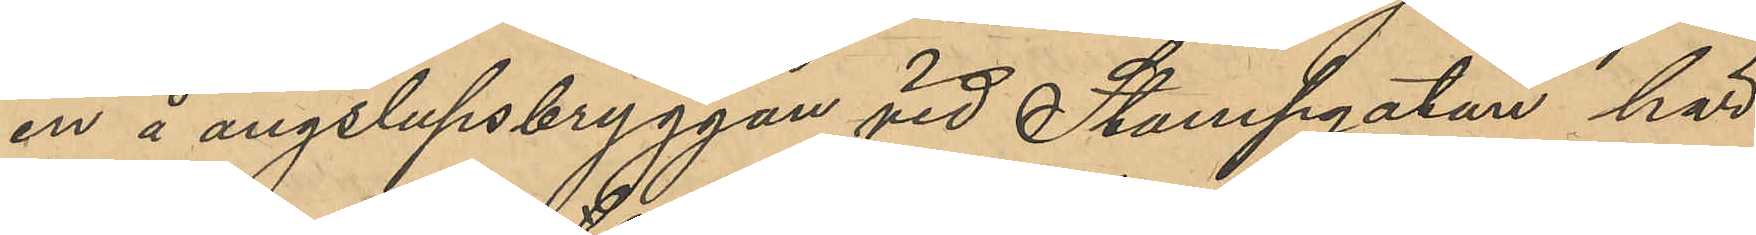en å ångslupsbryggan vid Stampgatan här
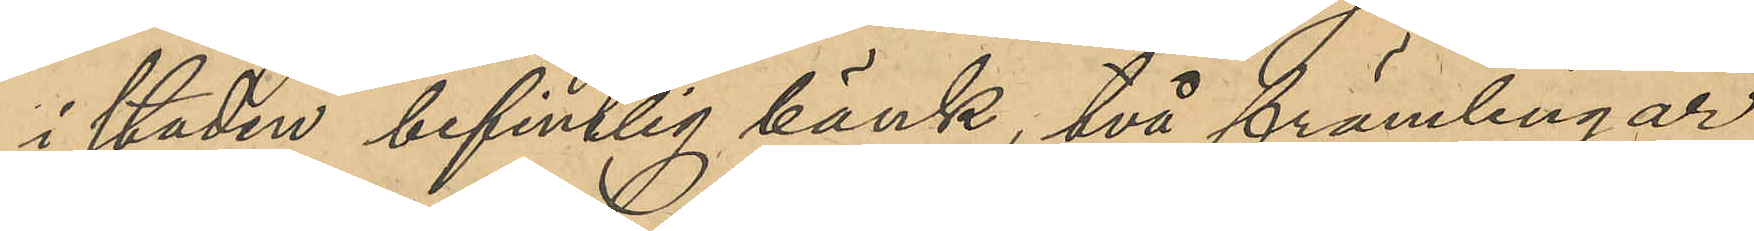i staden befintlig bänk, två främlingar
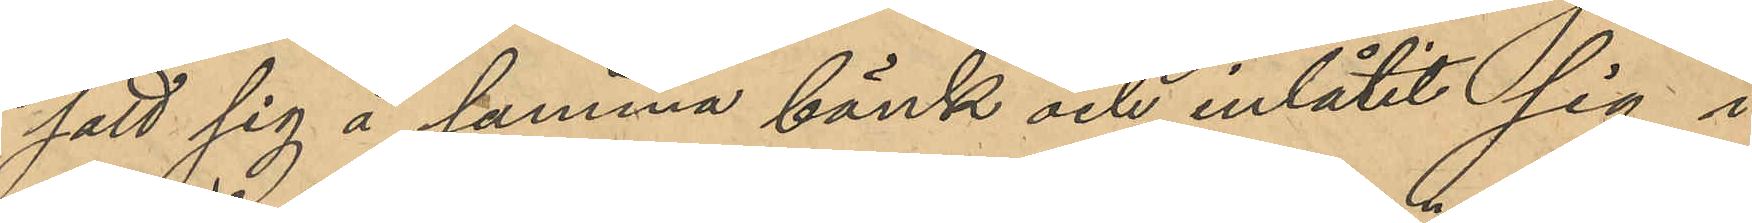satt sig å samma bänk och inlåtit sig i
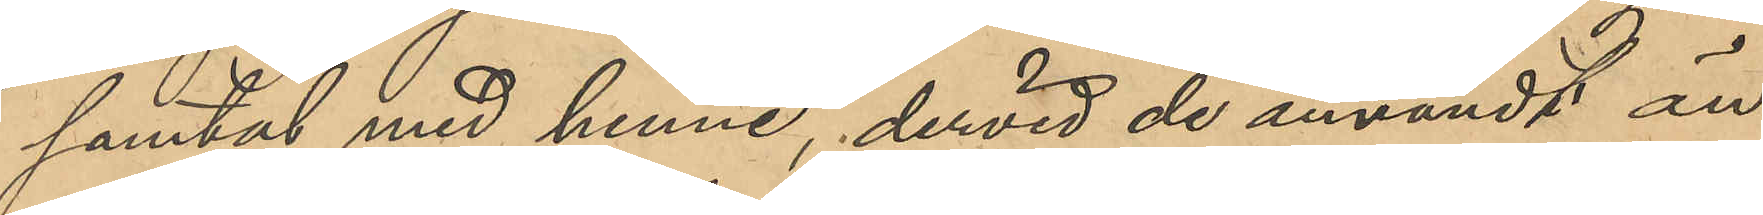samtal med henne, dervid de användt än
